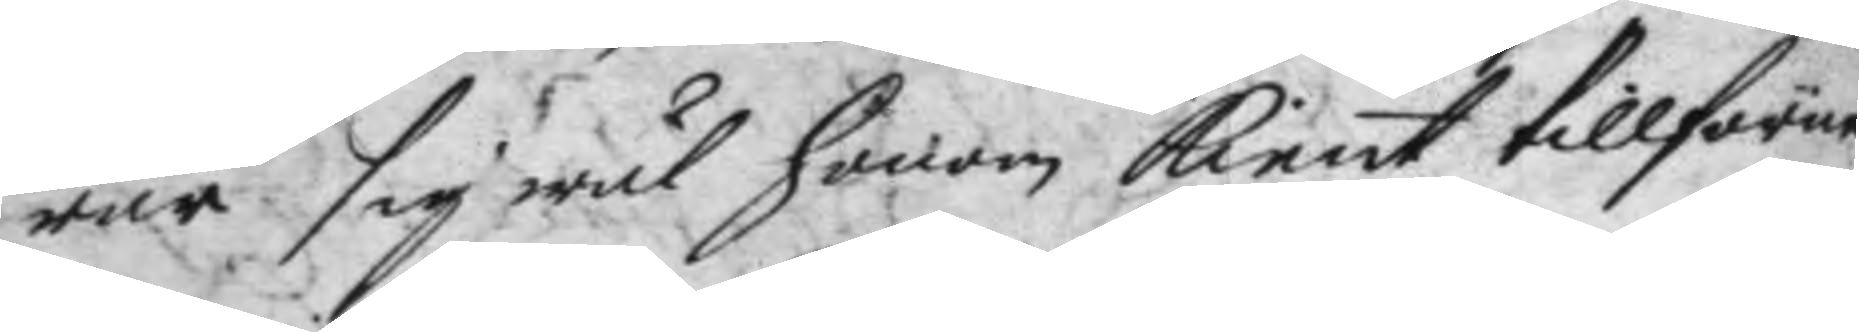rar sig wäl honom kient tillförne
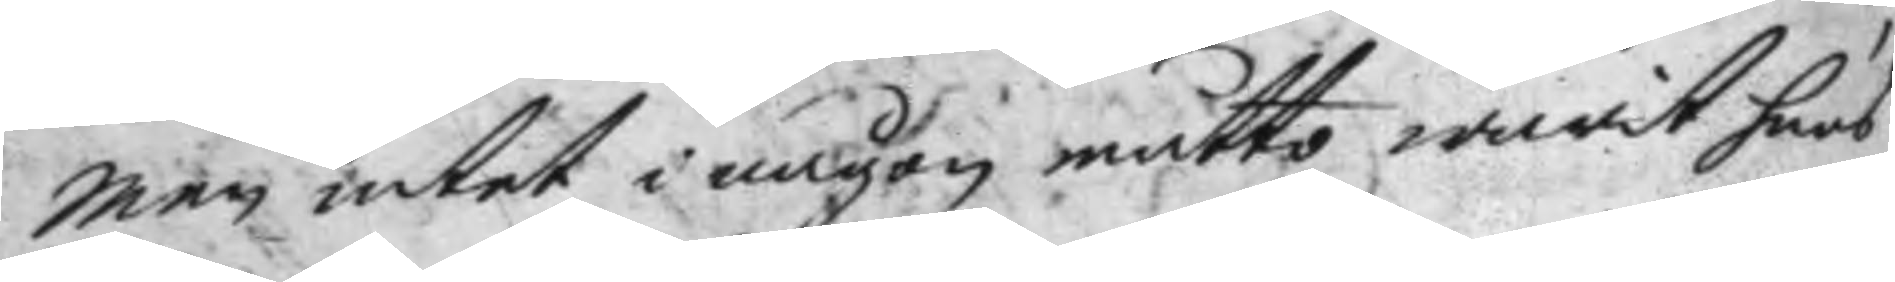Men intet i någon måtto warit hans
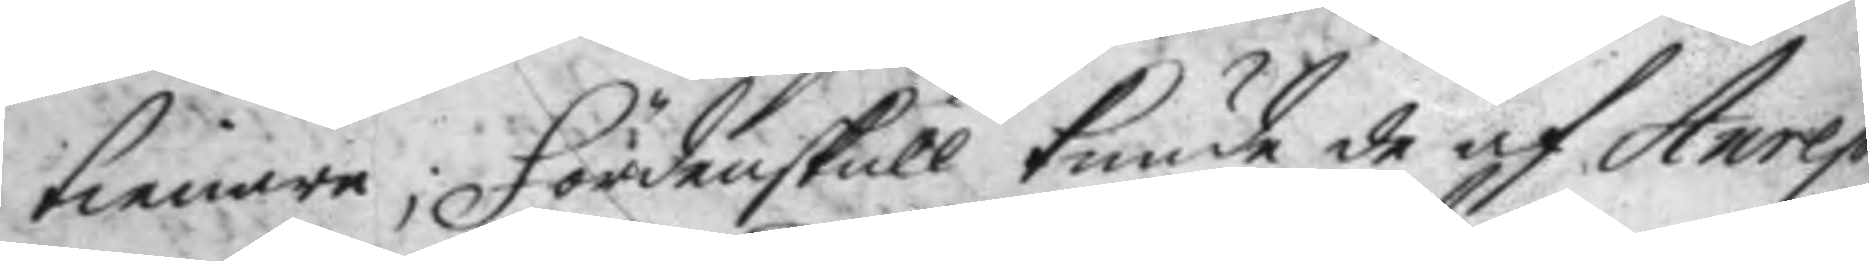tienare; Fördenskull kunde de af Anrep
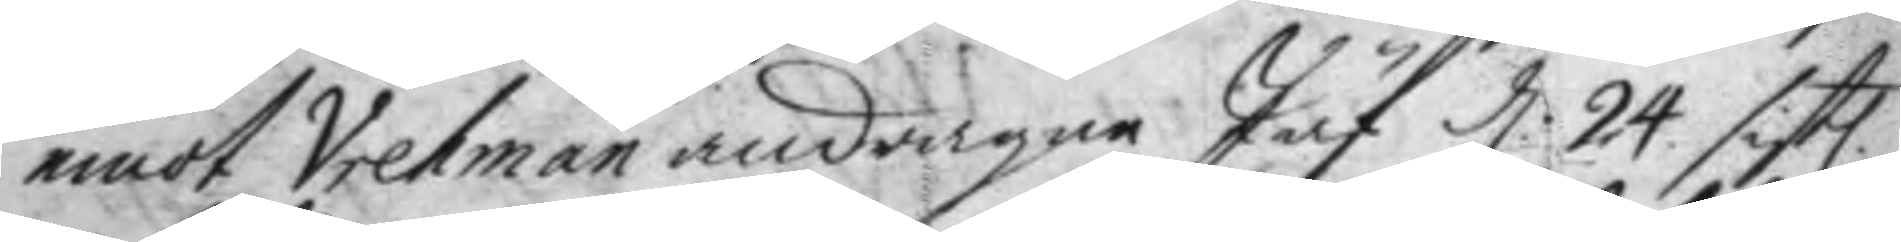emot Vretman andragne Jäf d: 24 sistl. 
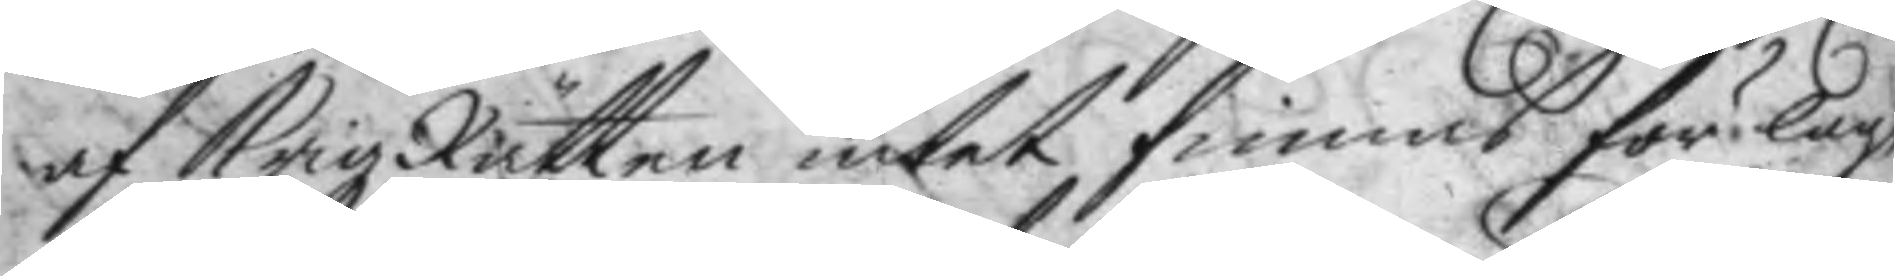af KrigzRätten intet finnas för lag¬
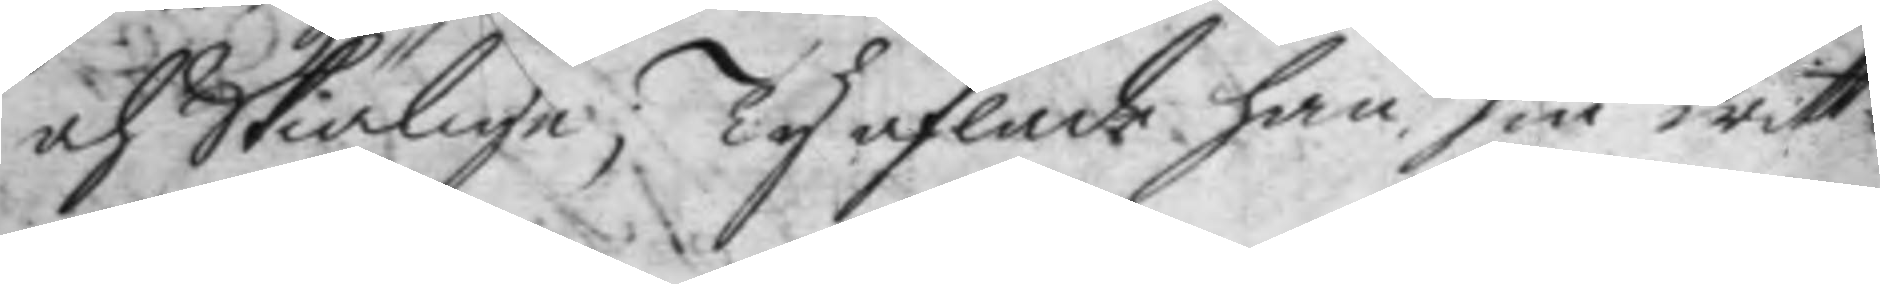och Skiälige; Ty aflade han sin witt¬
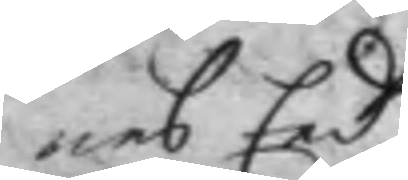nes Eed.
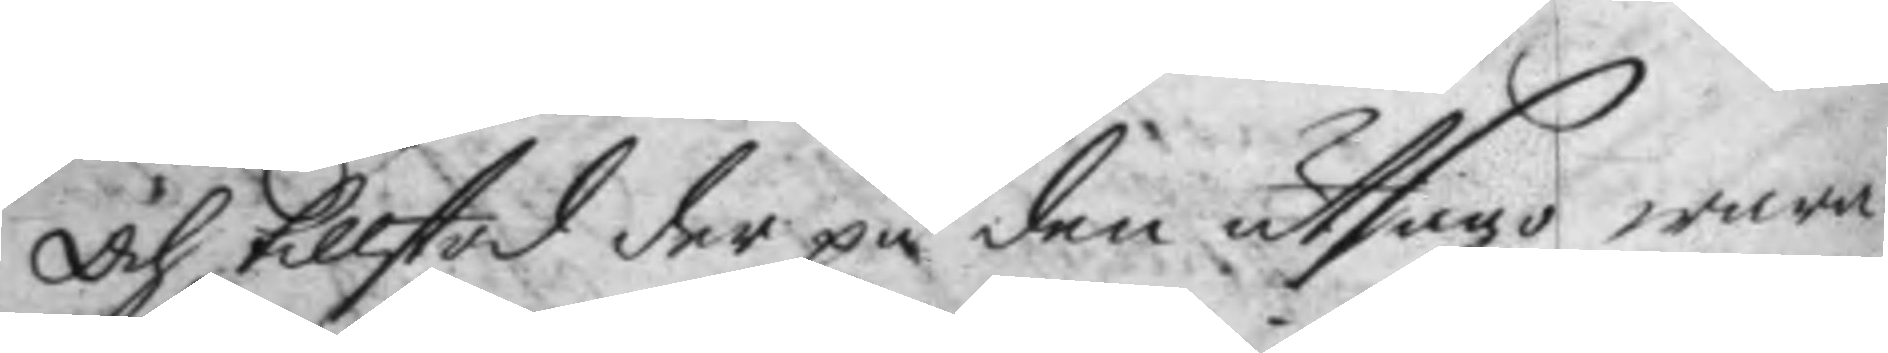Och tillstod der på den utsago wara
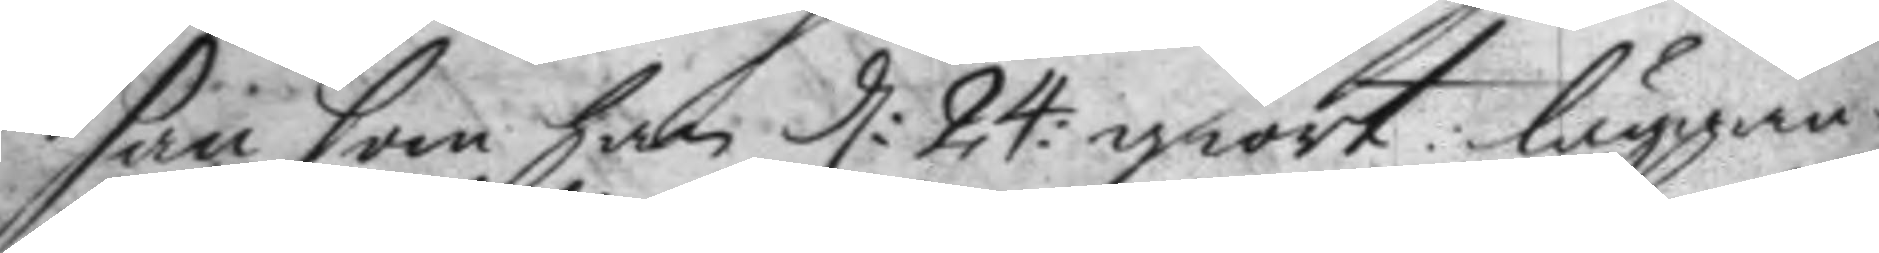san som han d: 24 giort läggan¬
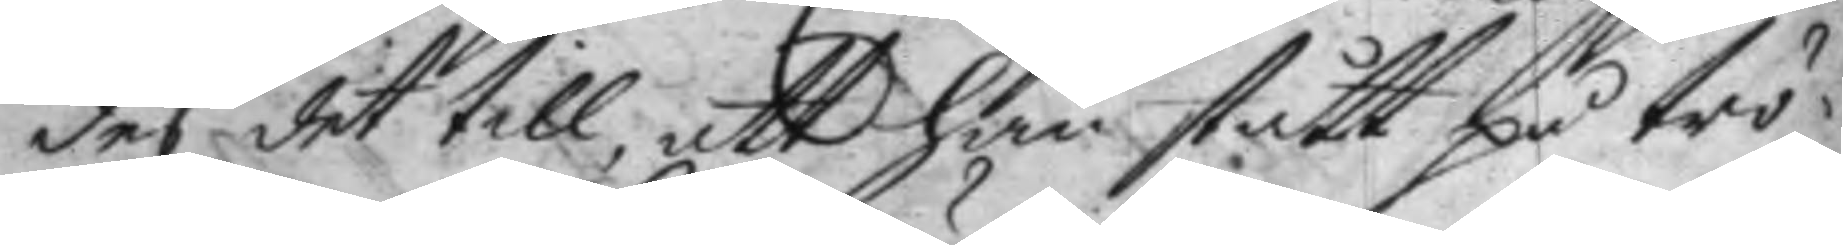des det till att han stått på trö¬
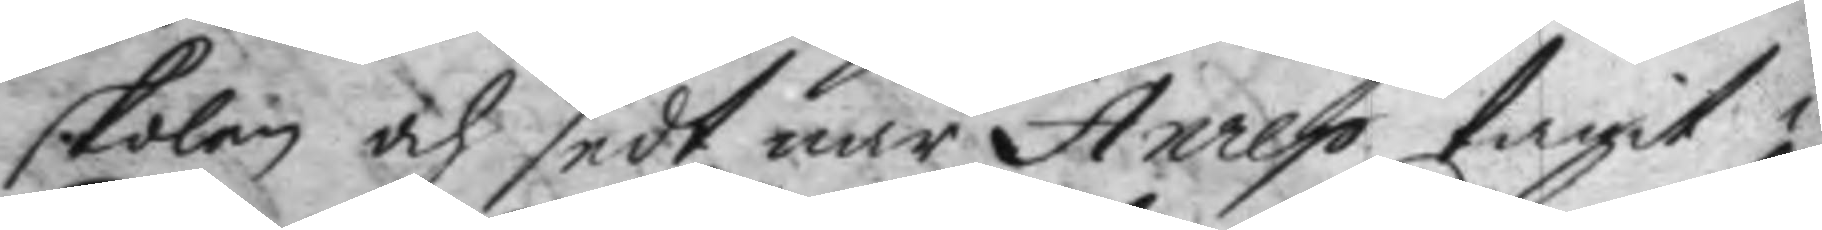skolen och sedt när Anrep tagit i
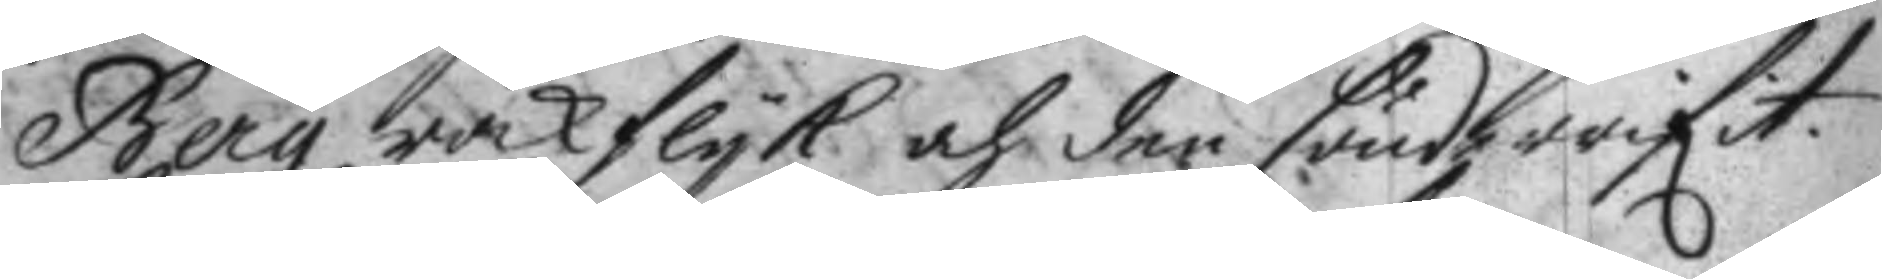Berg rakflyk och der sönderrifit.
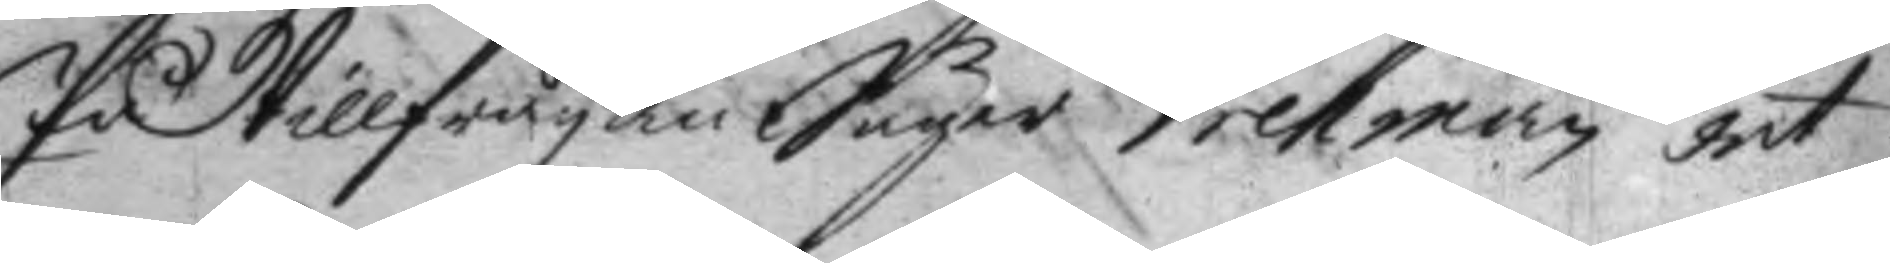På tillfrågan Säger Vretman det
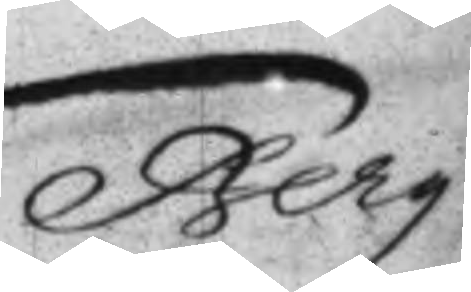Berg. 
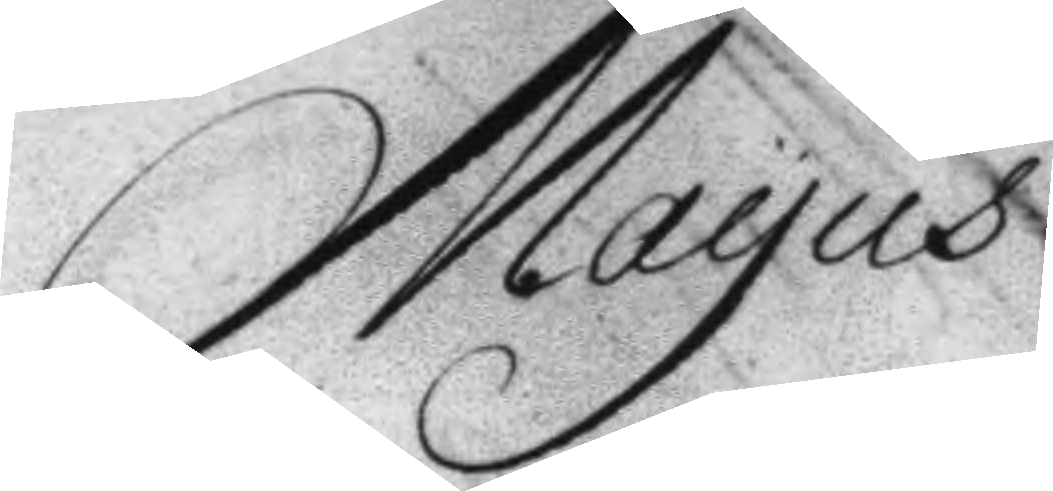Mayus
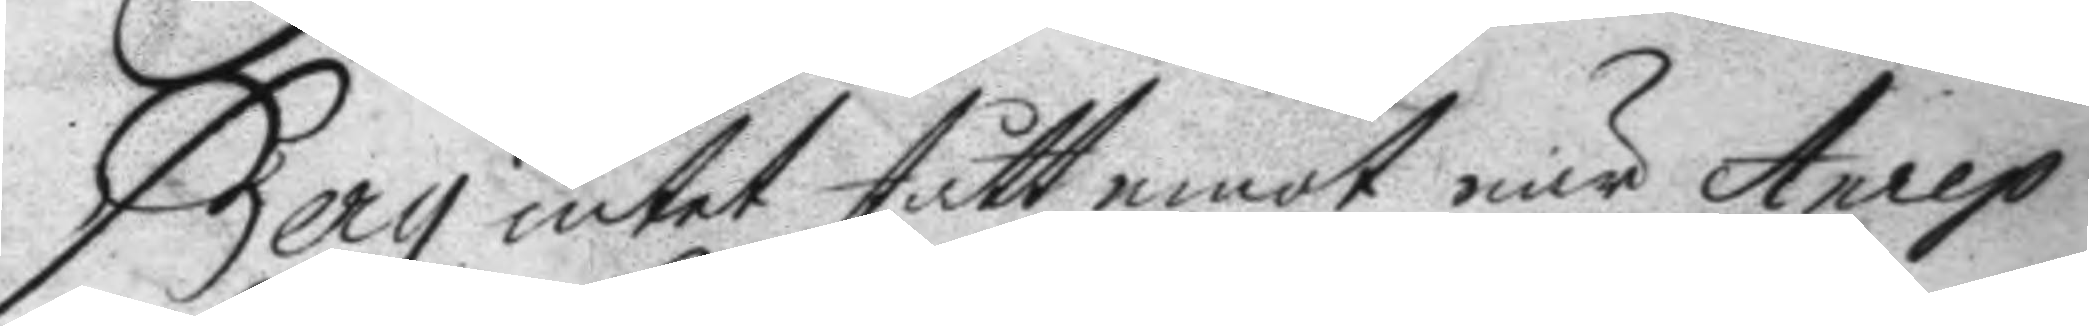Berg intet stått emot när Anrep
